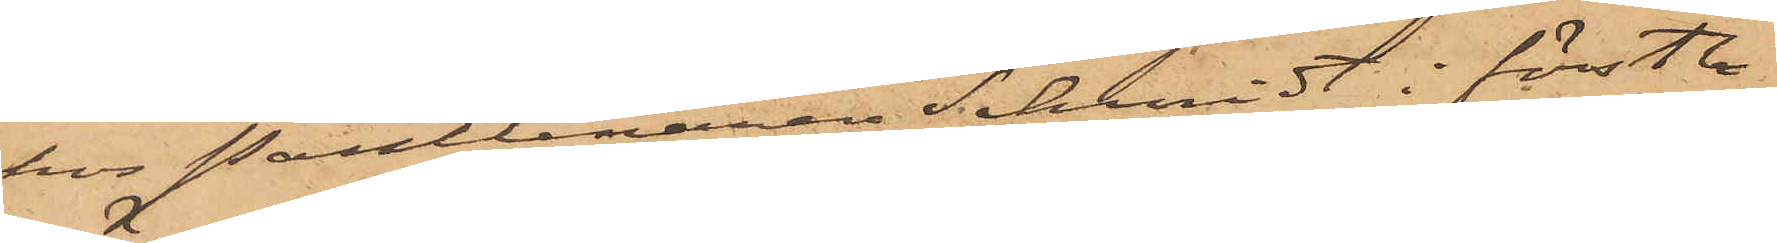hos Pantlånaren Schmidt i förstbe-
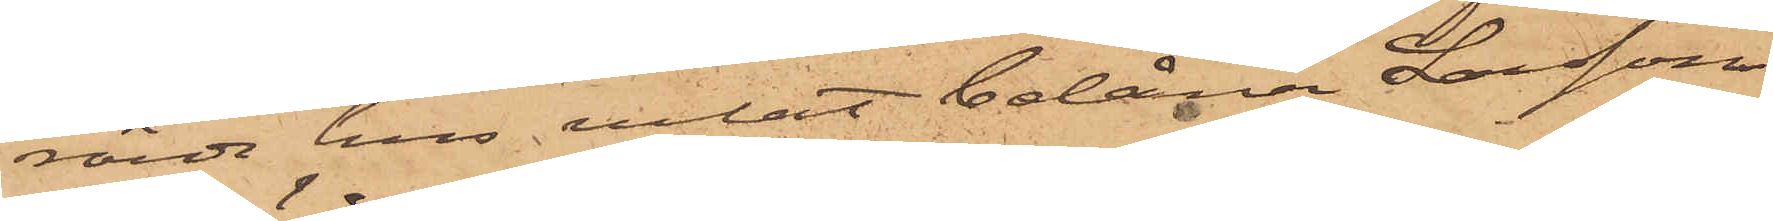rörde hus velat belåna Larsson
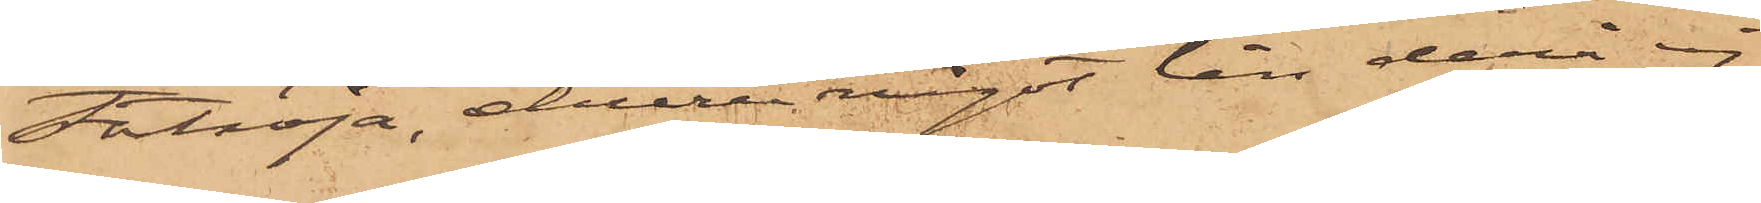stortröja, ehuru något lån derå ej
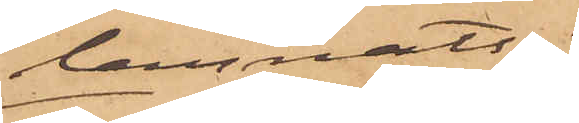lemnats;
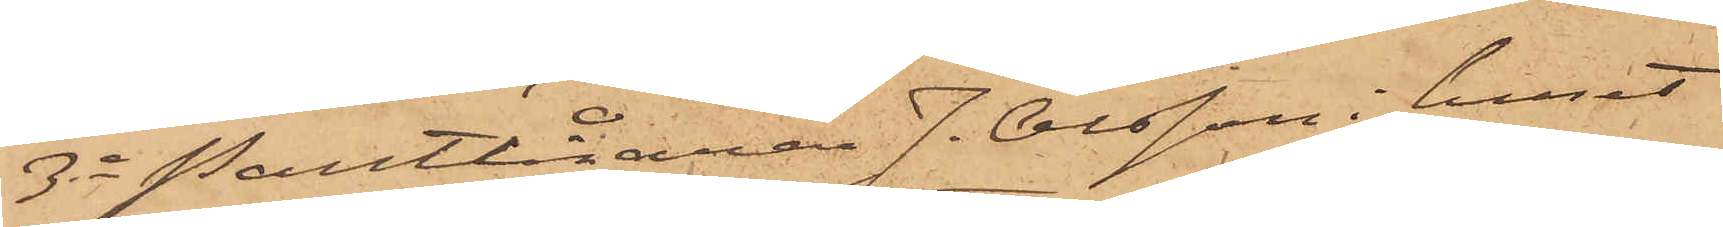3o Pantlånaren J. Olsson i huset
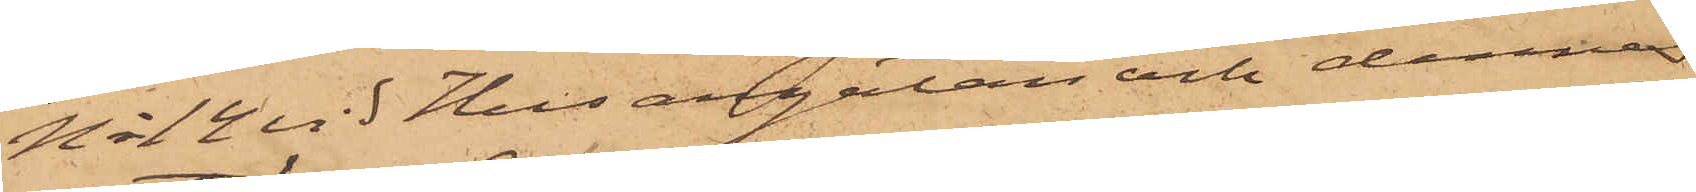No 14 vid Husargatan och dennes
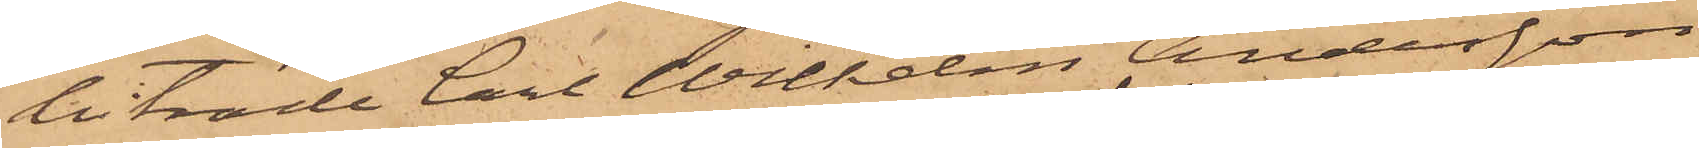biträde Carl Wilhelm Andersson
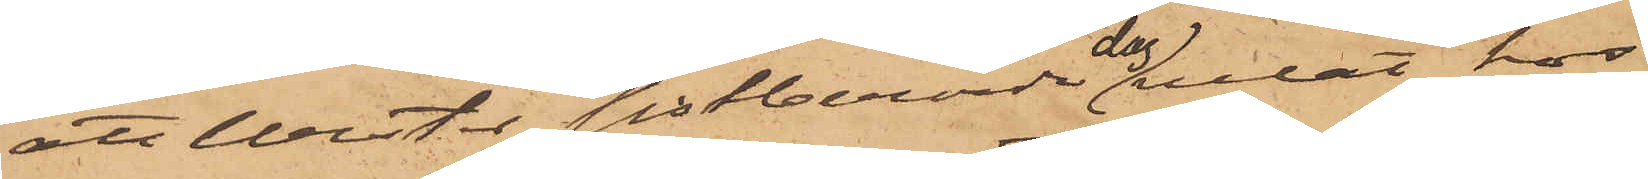att Wester sistberörde dag velat hos
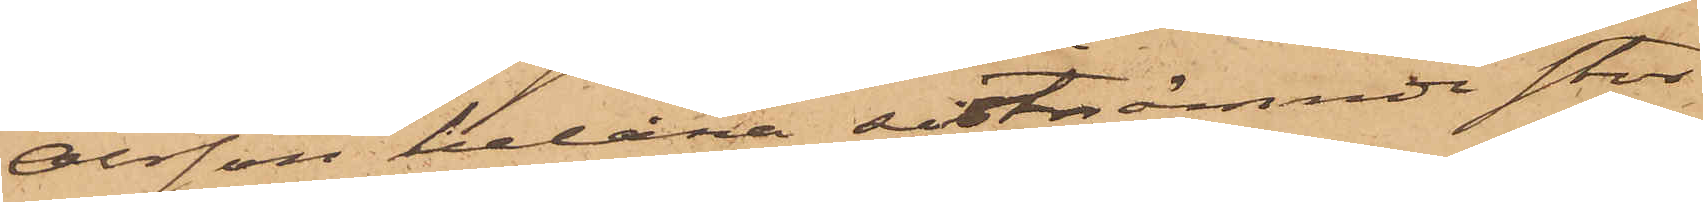Olsson belåna sistnämnde stor¬
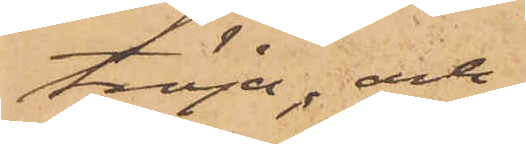tröja; och
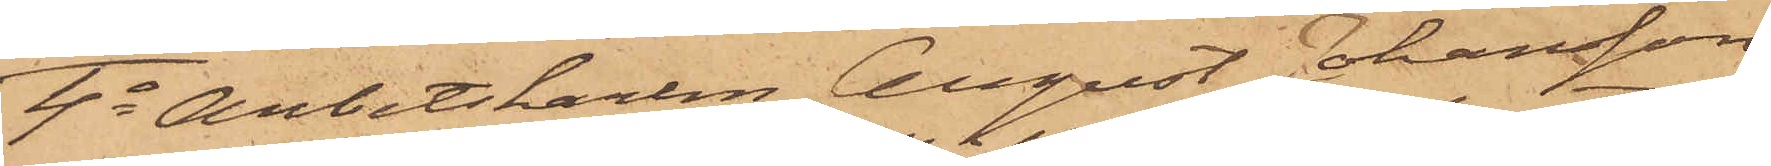4o Arbetskarlen August Johansson
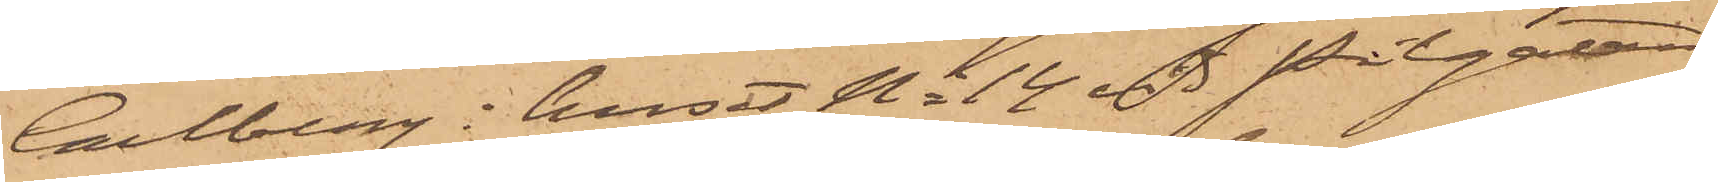Carlberg i huset No 14 vid Pilgatan
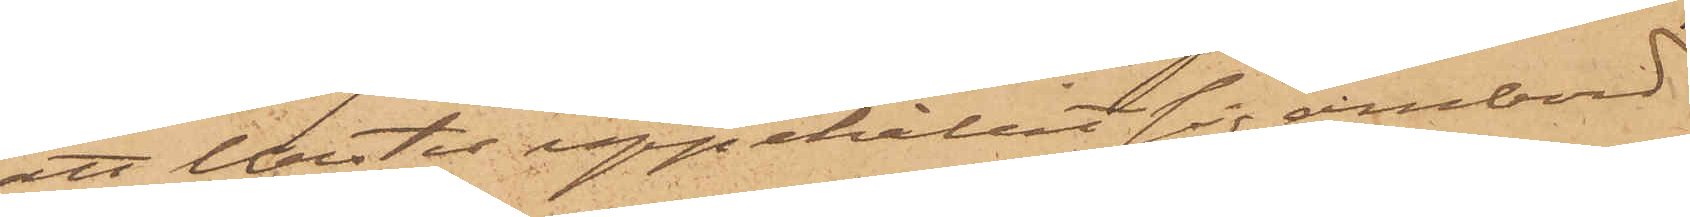att Wester uppehållit sig ombord
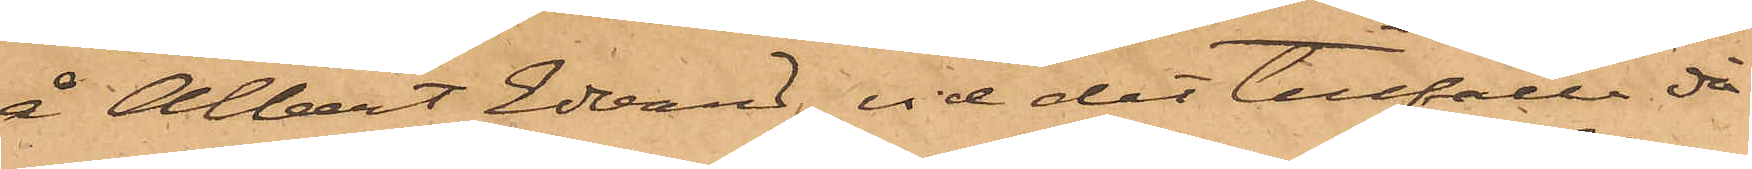å Albert Edvard vid det tillfälle då
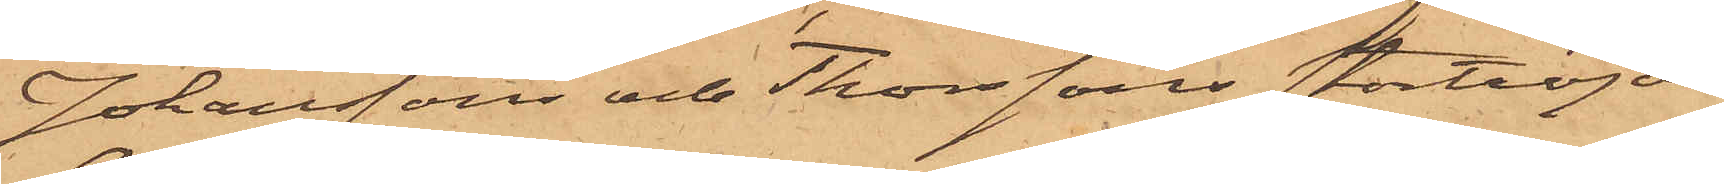Johanssons och Thorssons stortröjor
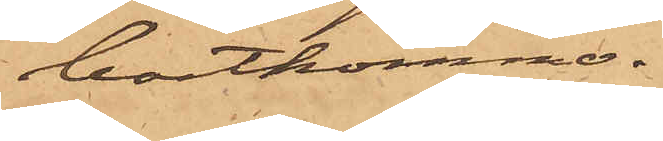bortkommo.
